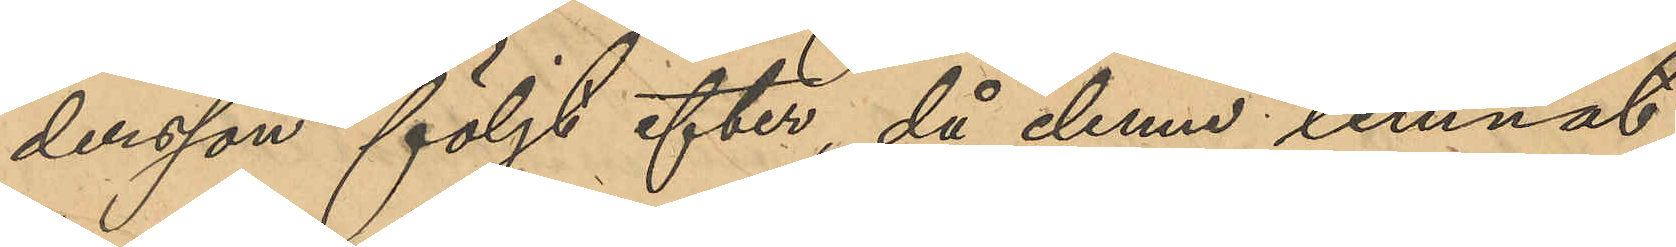dersson följt efter, då denne lemnat
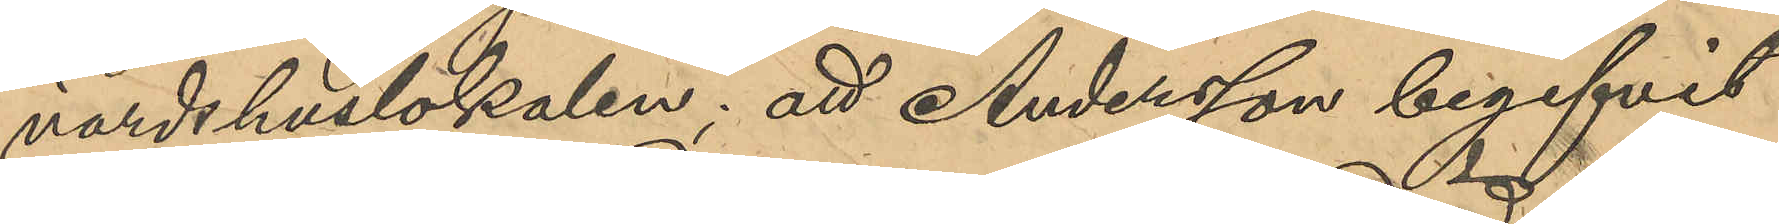värdshuslokalen; att Andersson begifvit
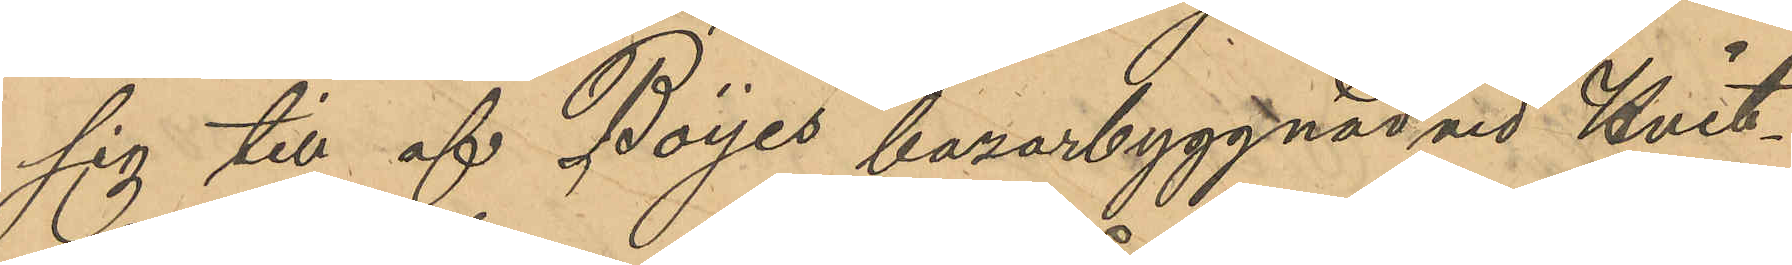sig till af Boijes bazarbyggnad vid Hvit¬
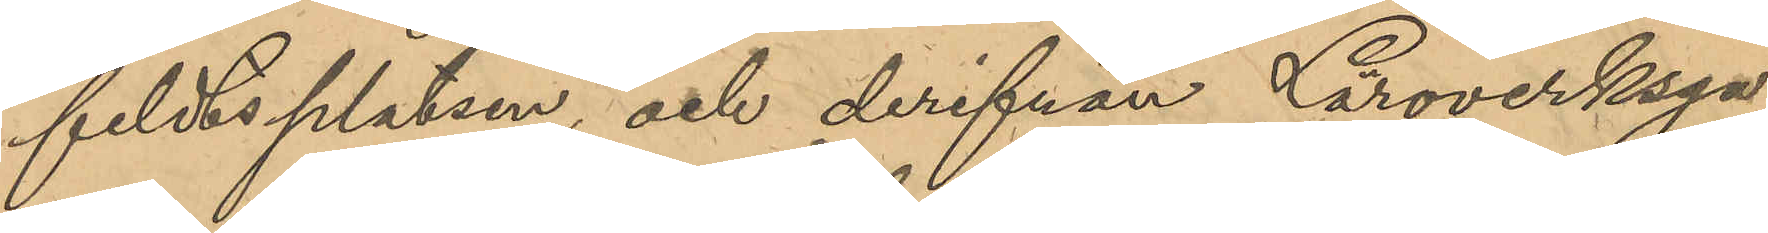feldtsplatsen, och derifrån Läroverksga¬
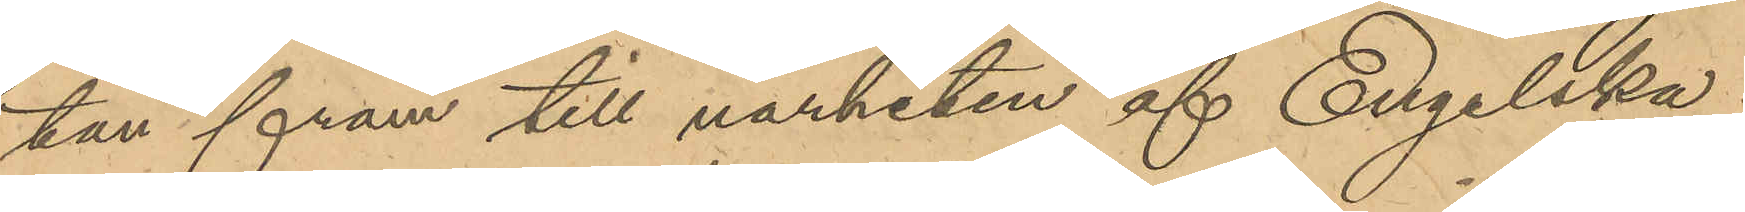tan fram till närheten af Engelska
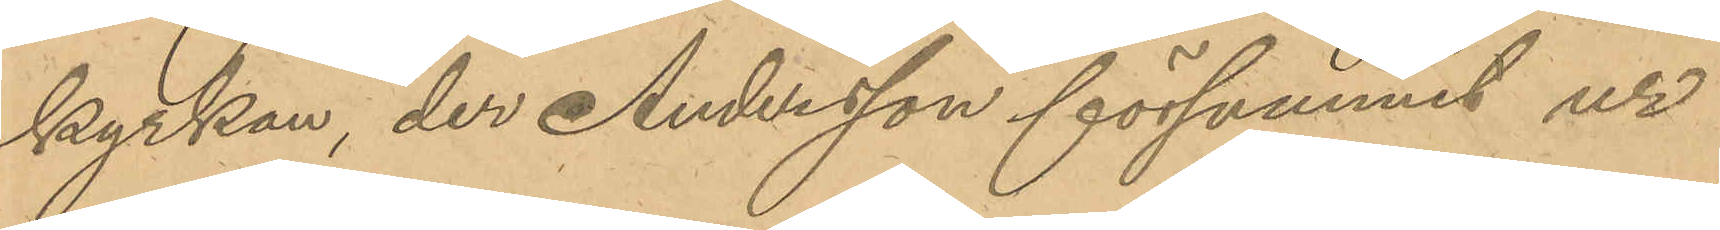kyrkan, der Andersson försvunnit ur
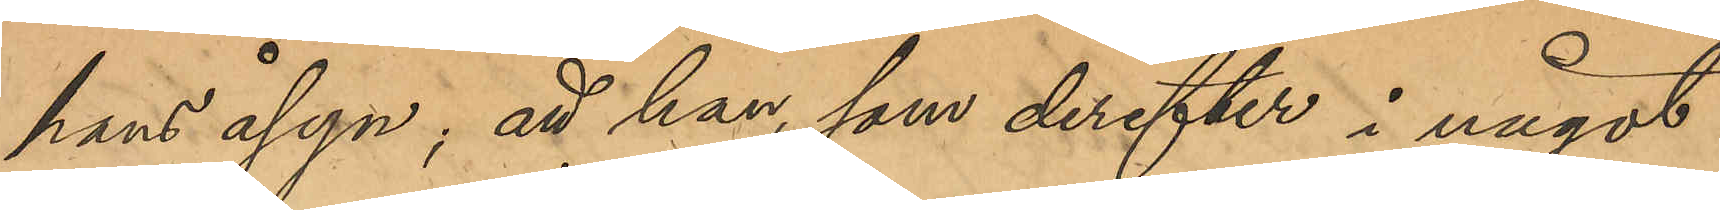hans åsyn; att han som derefter i något
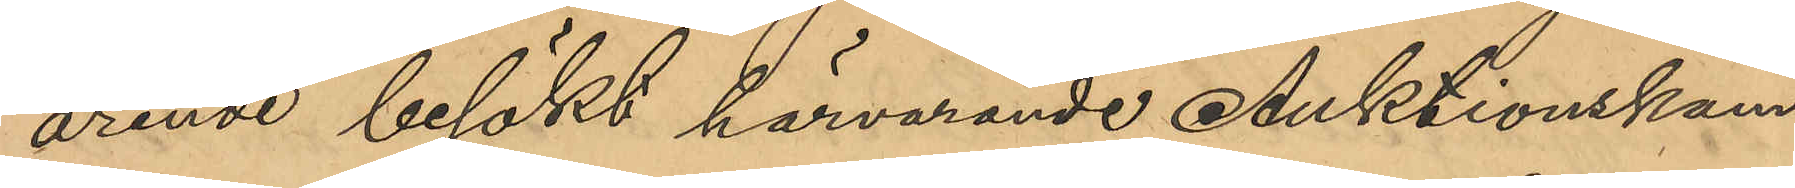ärende besökt härvarande Auktionskam¬
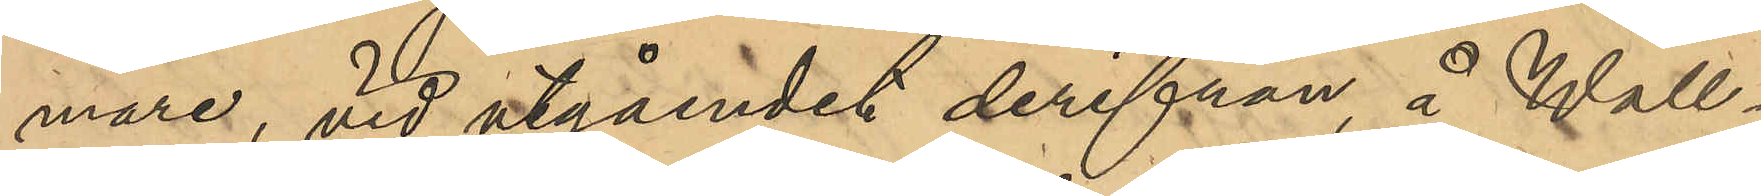mare, vid utgåendet derifrån, å Wall¬
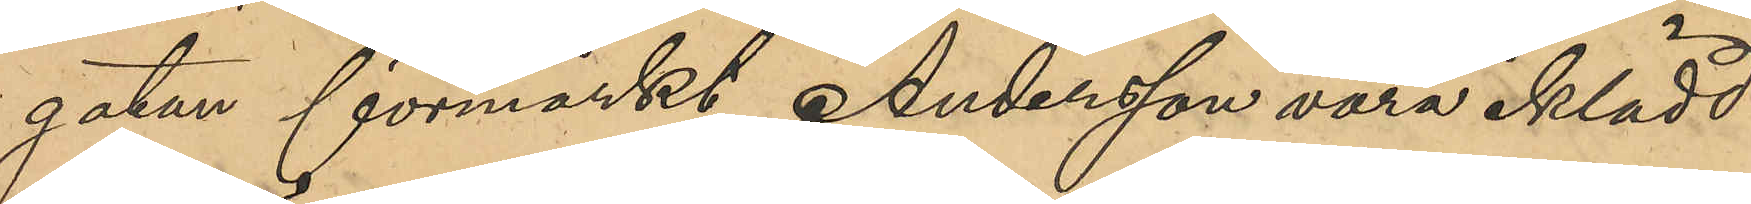gatan förmärkt Andersson vara iklädd
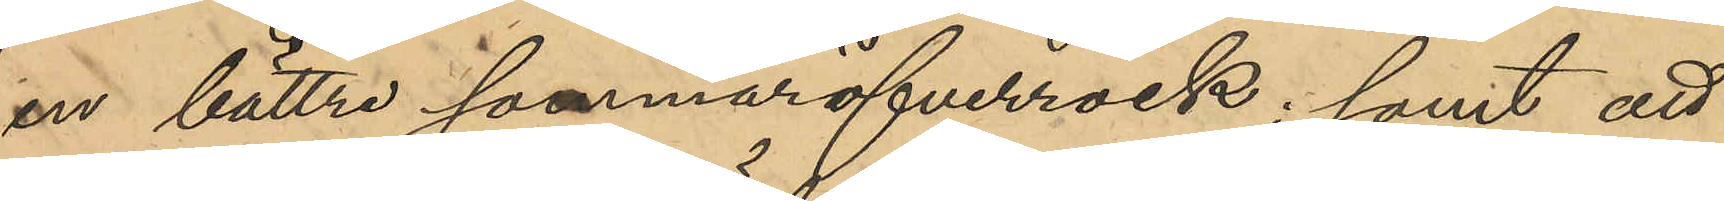en bättre sommaröfverrock; samt att
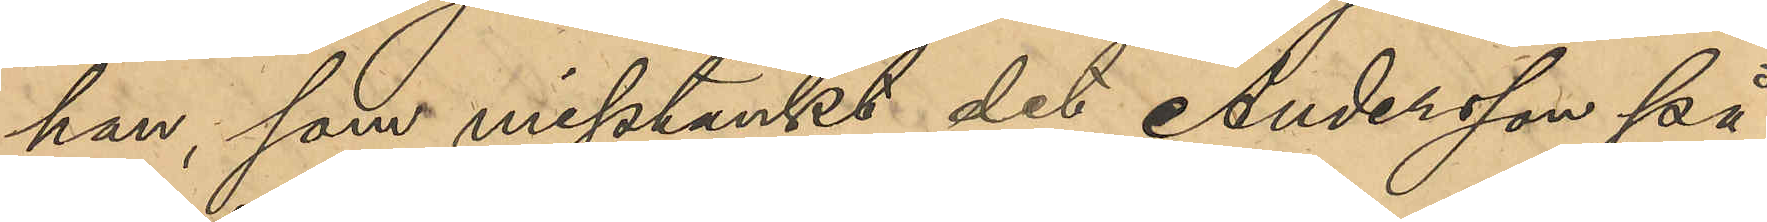han, som misstänkt det Andersson på
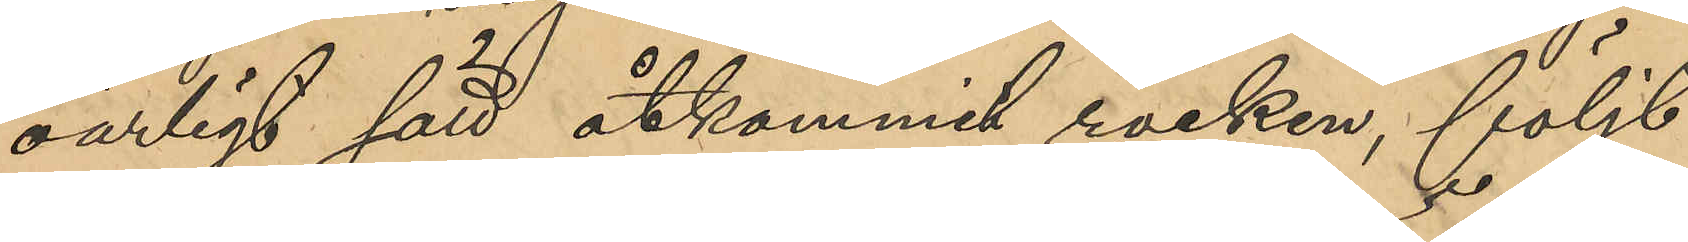oärligt sätt åtkommit rocken, följt
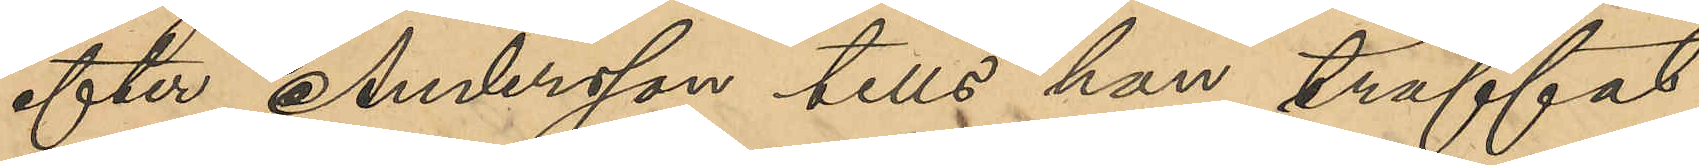efter Andersson tills han träffat
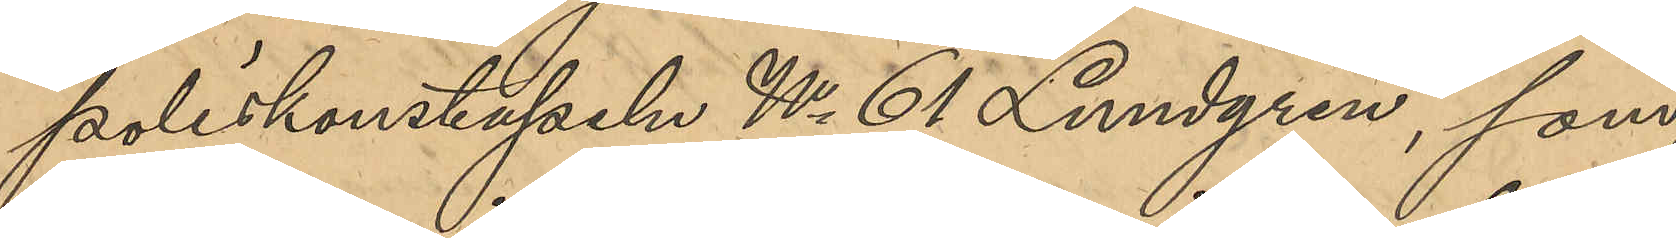poliskonstapeln No 61 Lundgren, som
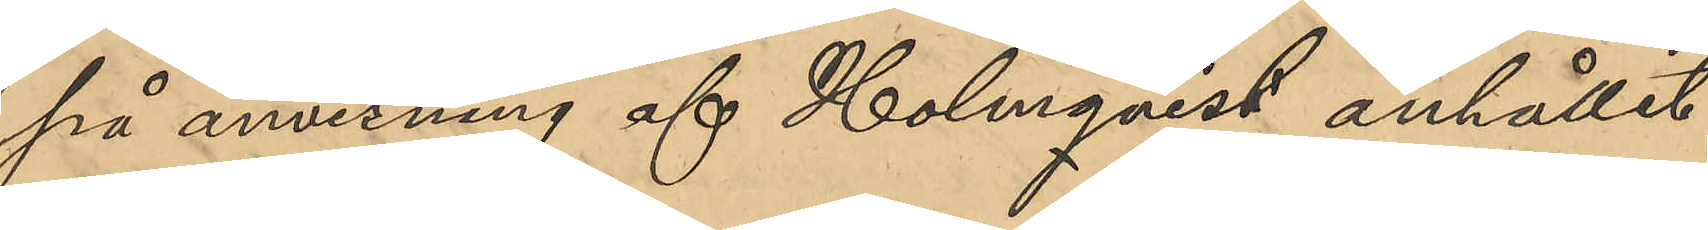på anvisning af Holmqvist anhållit
